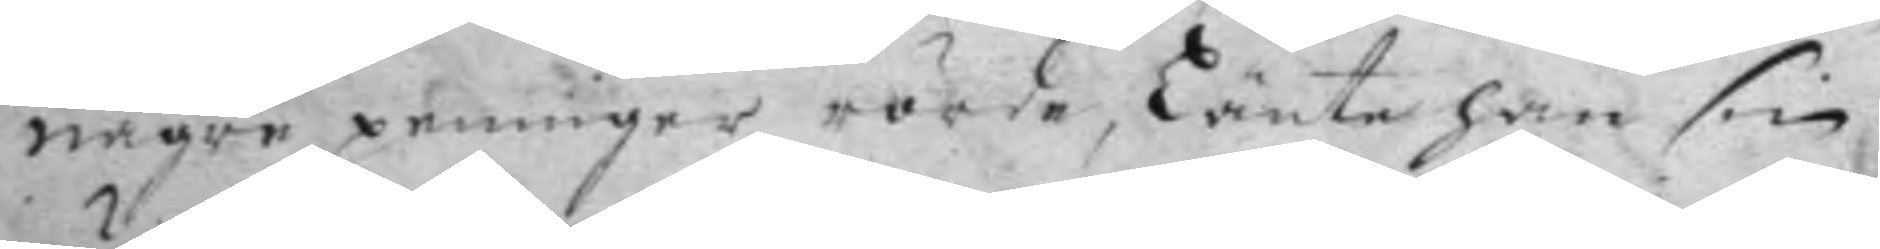någre penningar rörde, Länte han sin
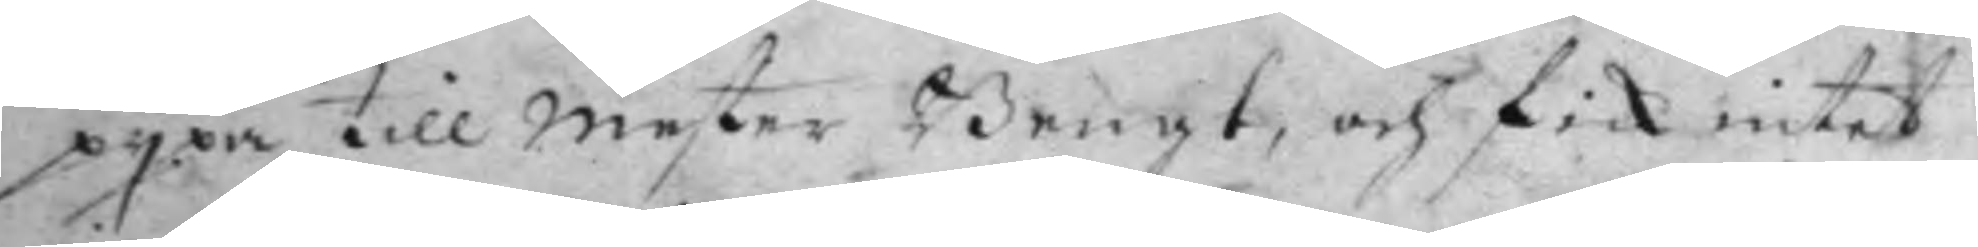pypa till mester Bengt, och fick intet
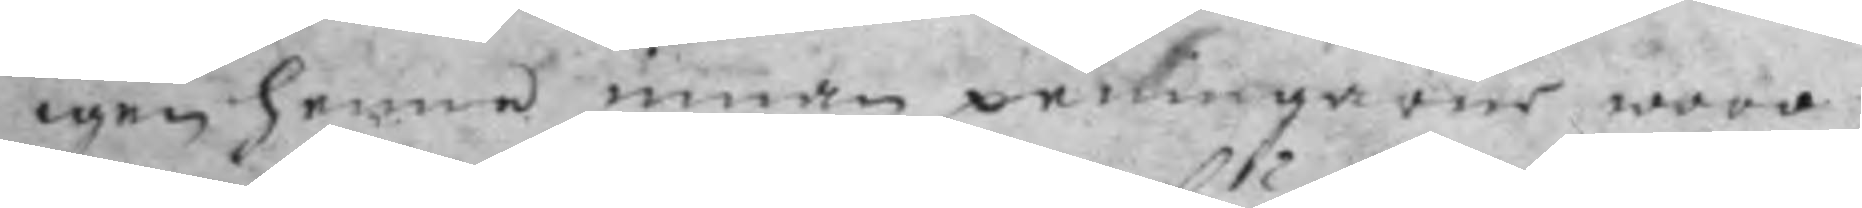igen henne innan penningarne woro
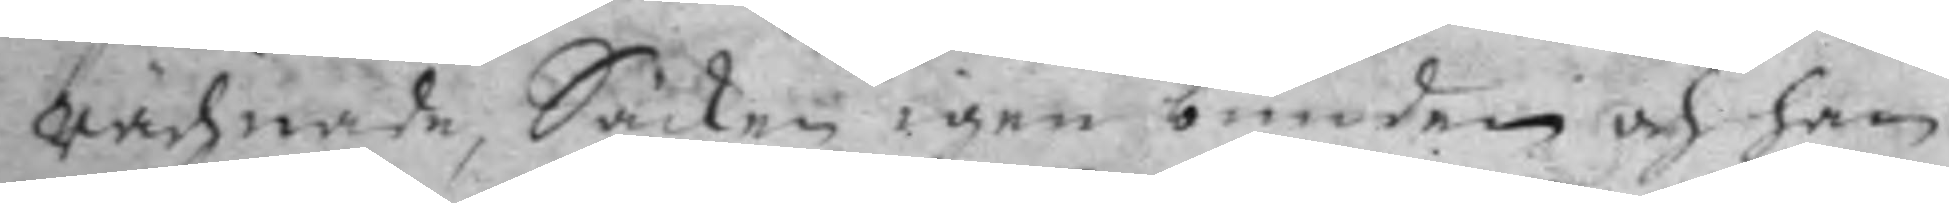rächnade, Säcken igen bunden och han
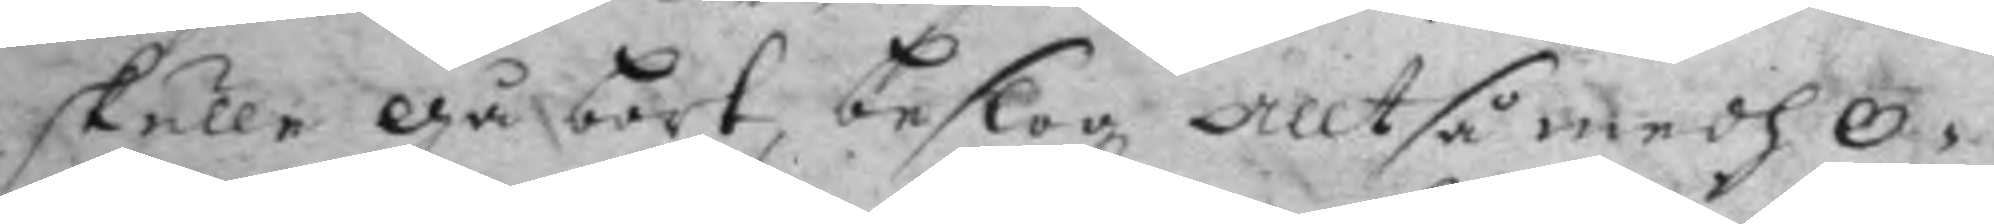skulle gå bort, beslog alltså medh O¬
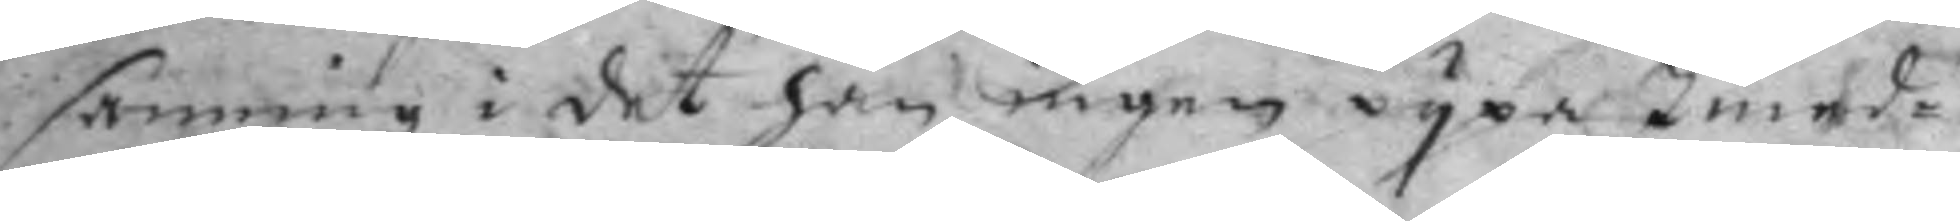sanning i det han ingen pypa Imed¬
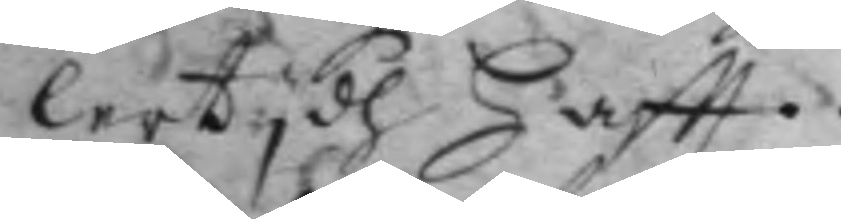lertydh Haftt.
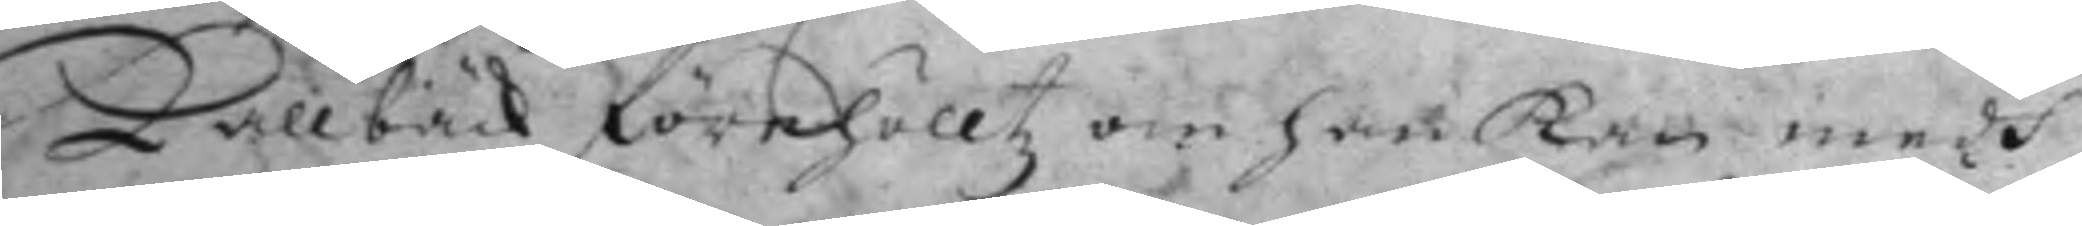Kallbäck förehölltz om han kan medh
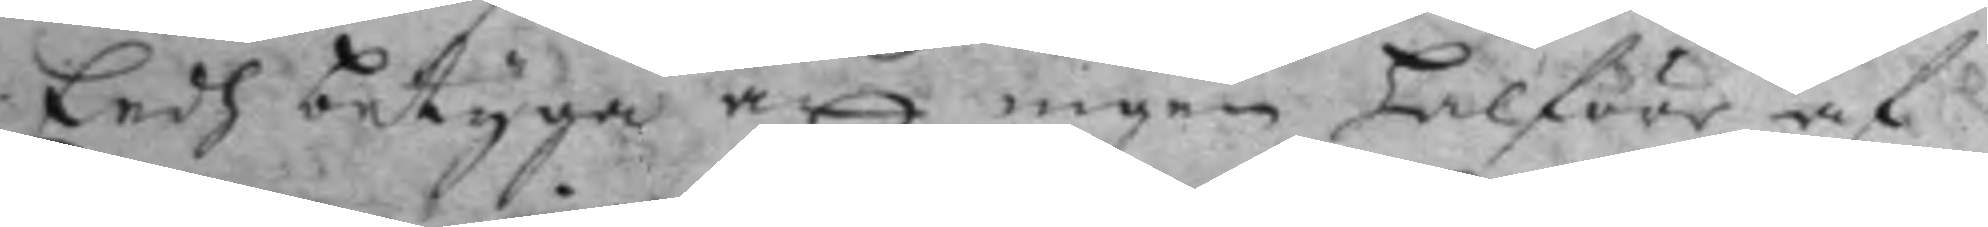Eedh betyga att ingen halföre af
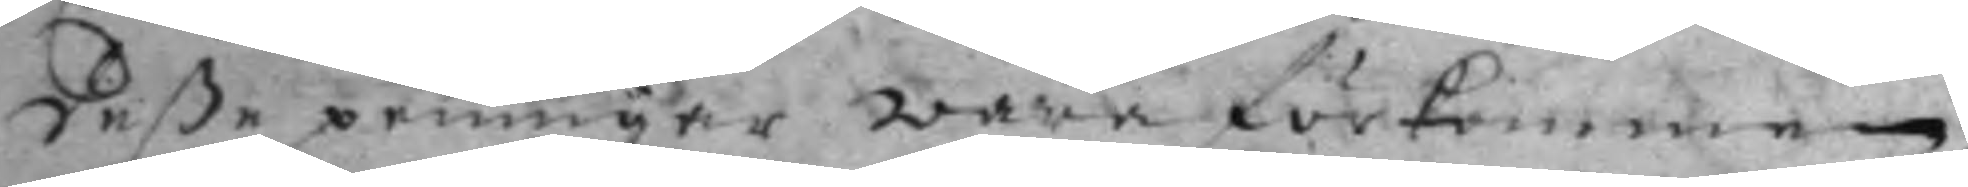deße penningar wara förkommen.
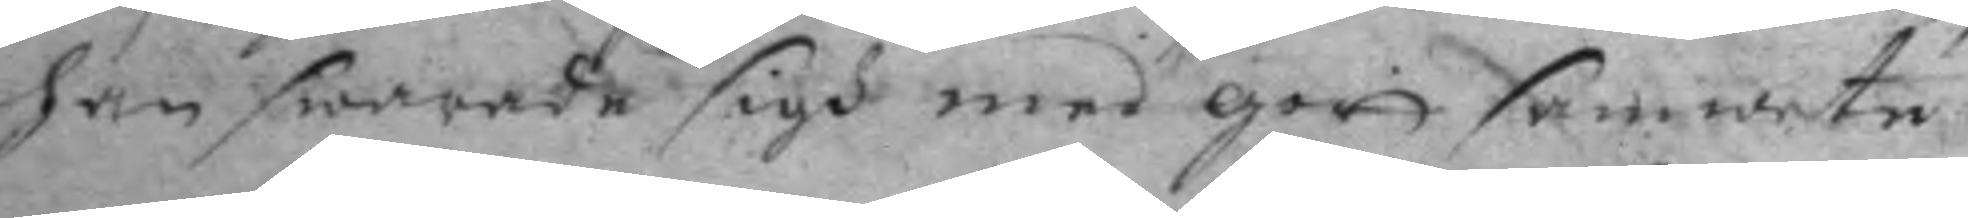han swarade sigh med gott samwete
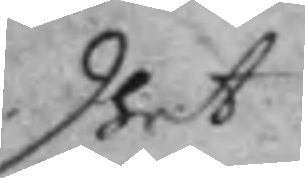dhet
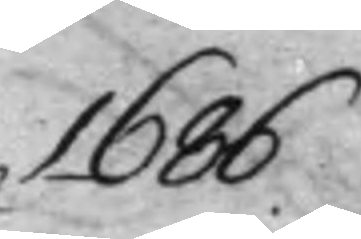1686.
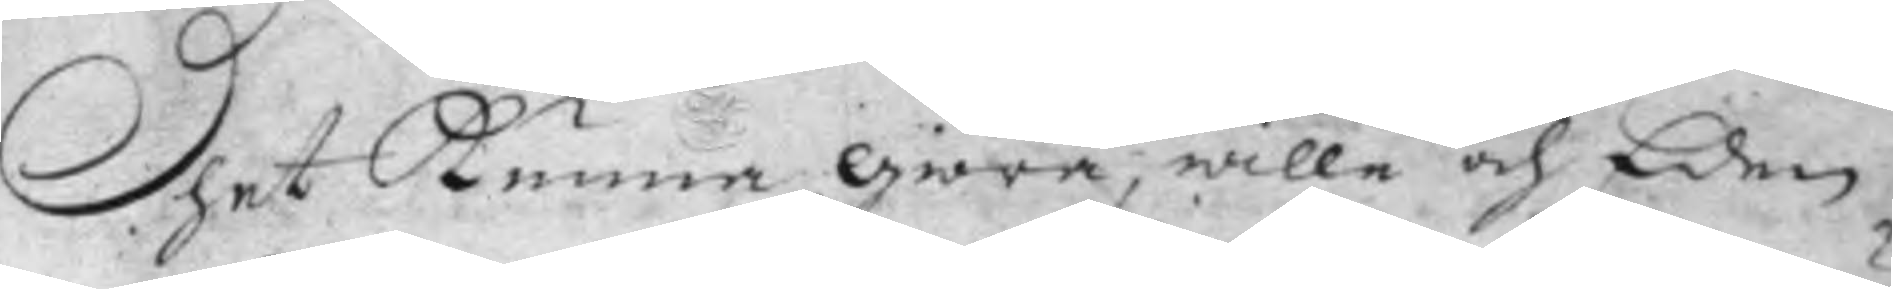Dhet Kunna giöra, wille och Eden
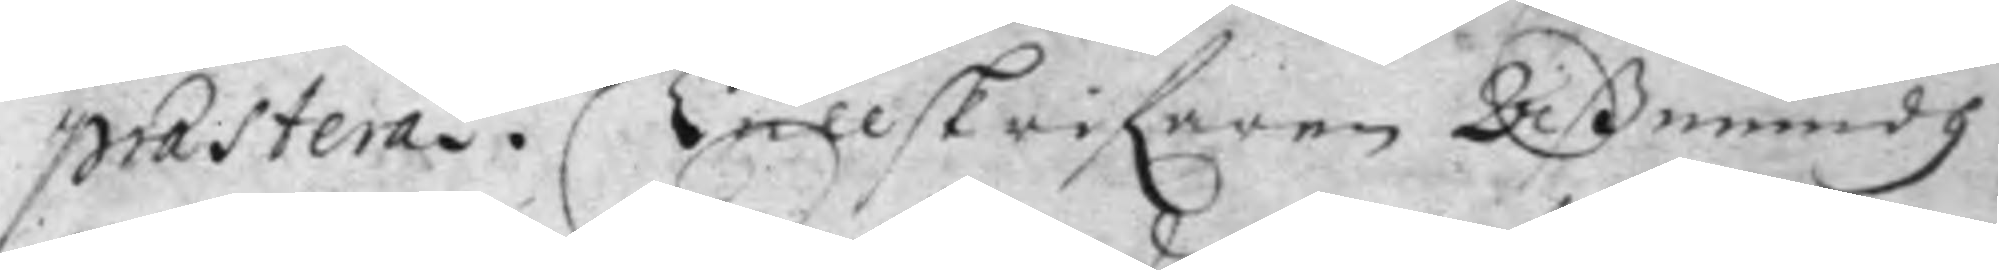prasterad. Tullskrifaren Aßmundh
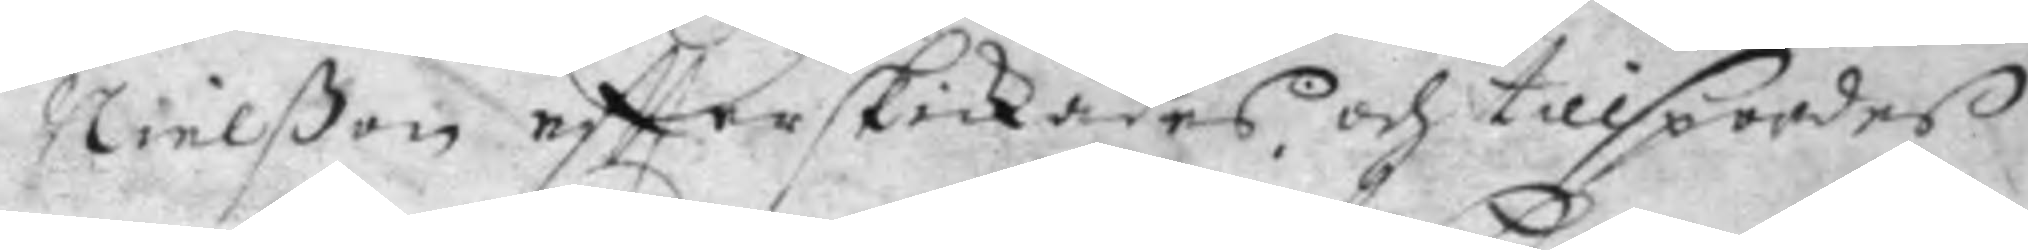Nielßon effterskickades och tillspordes
